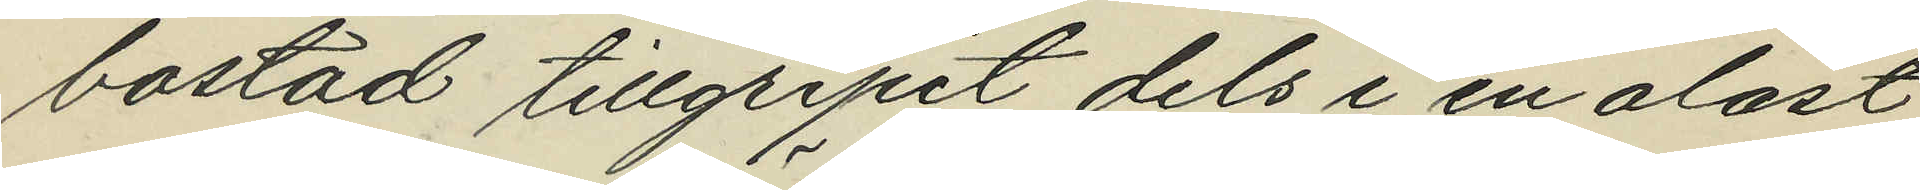bostad tillgripit dels i en olåst
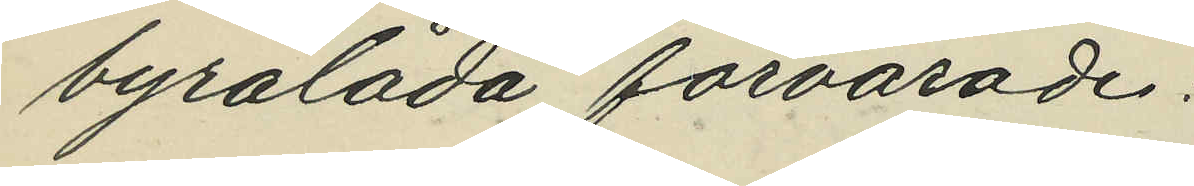byrålåda förvarade:
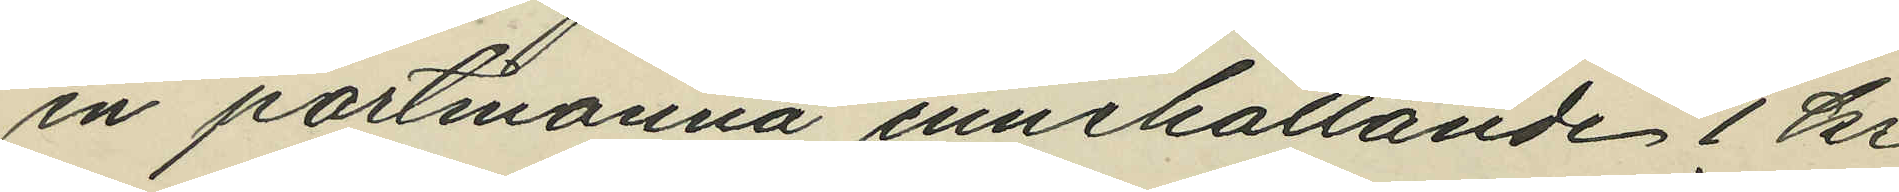en portmonnä innehållande 1 kr
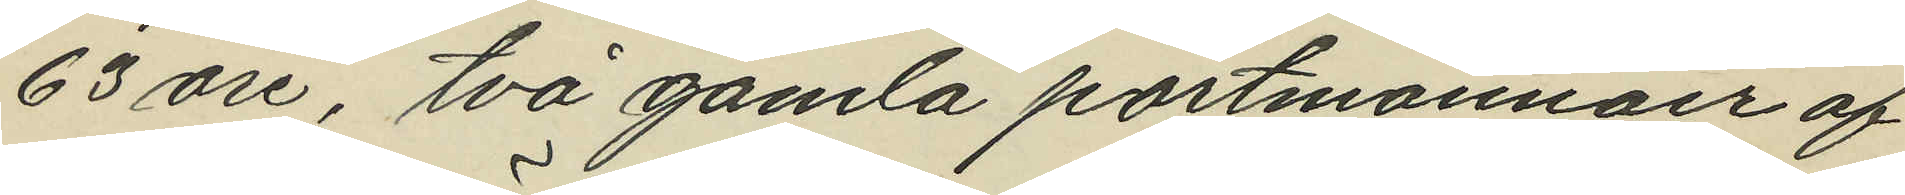63 öre, två gamla portmonnäer af
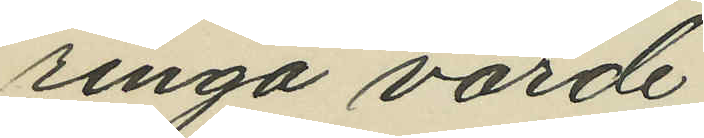ringa värde,
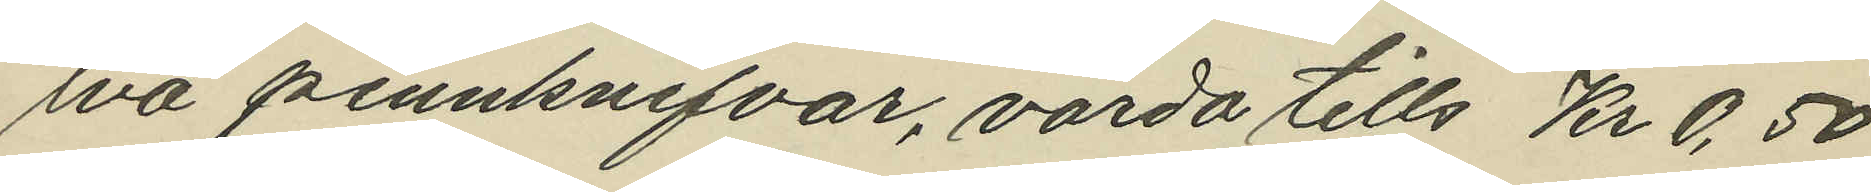två pennknifvar, värda tills. Kr 0,50
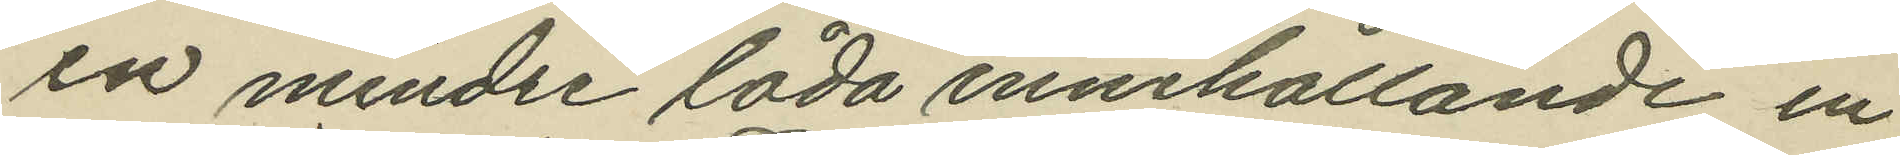en mindre låda innehållande en
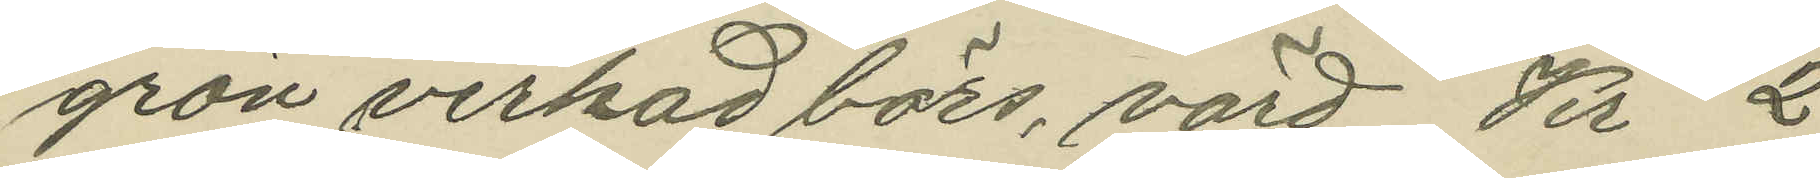grön virkad börs, värd Kr 2
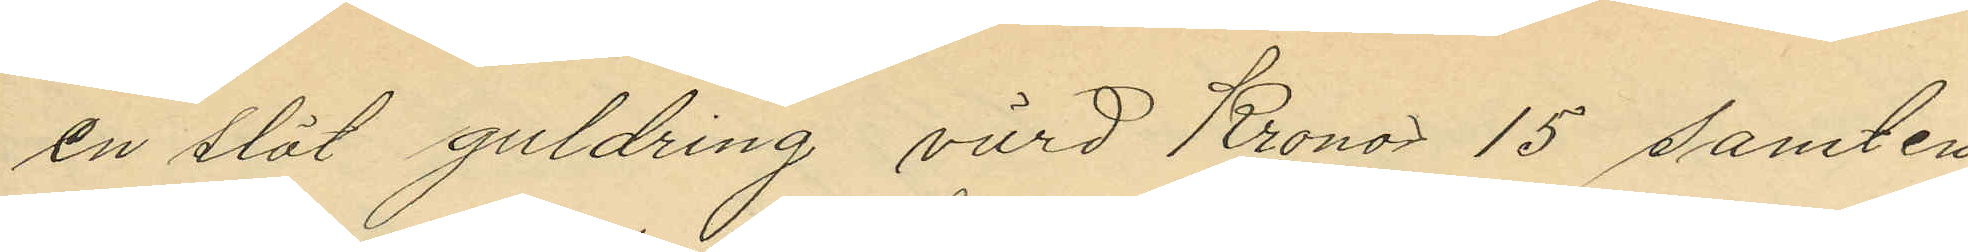en slät guldring värd Kronor 15 samt en
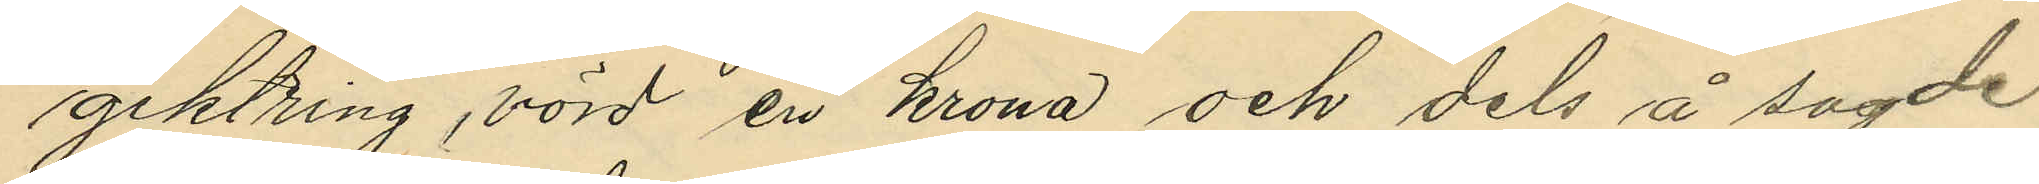giktring, värd en krona och dels å sagde
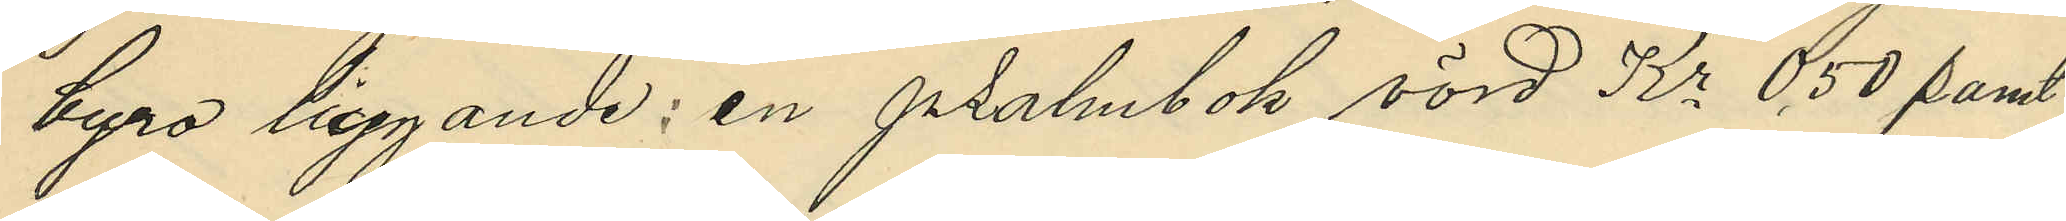byro liggande: en psalmbok värd Kr 0,50 samt
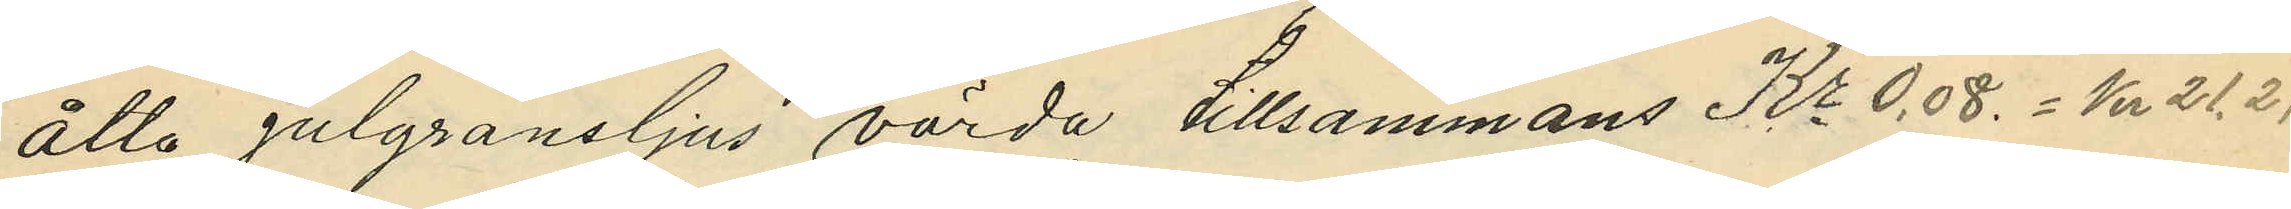åtta julgransljus värda tillsammans Kr 0,08. = Kr 21,21
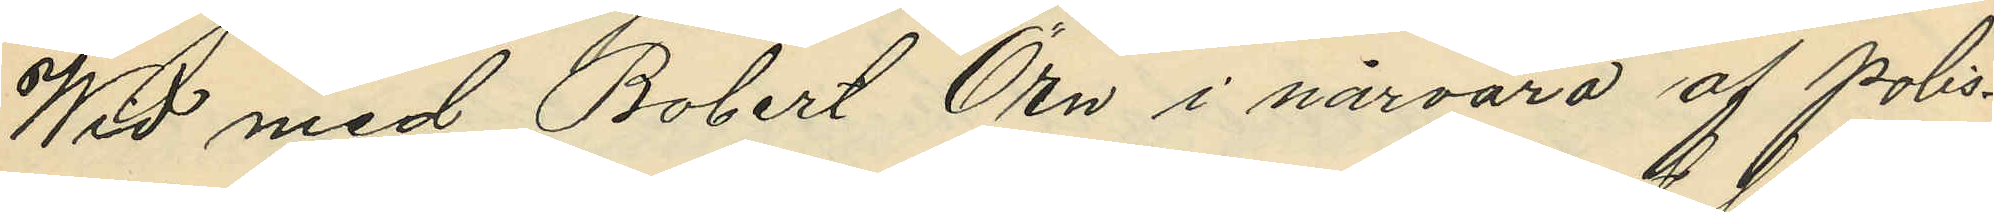Wid med Robert Örn i närvaro af polis¬
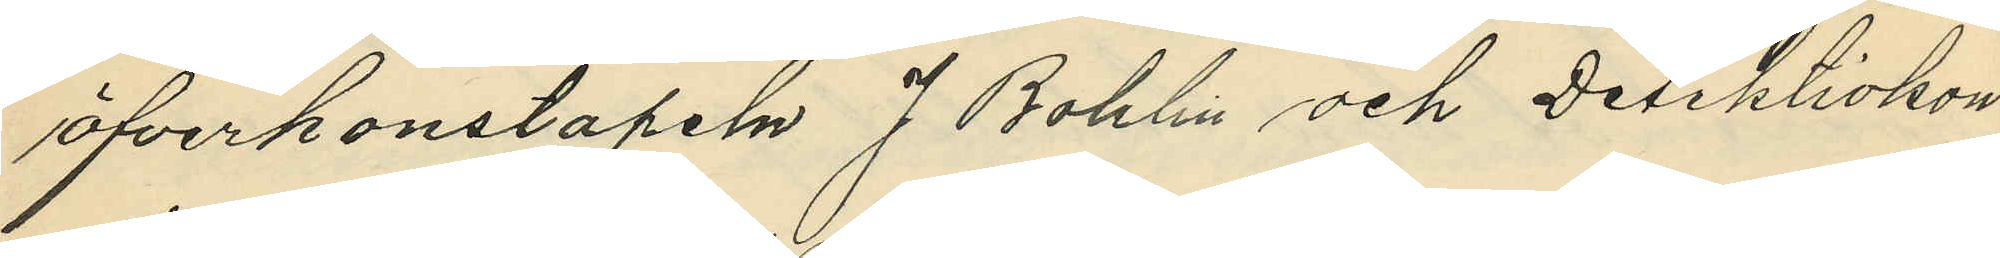öfverkonstapeln J Bohlin och Detektivkon¬
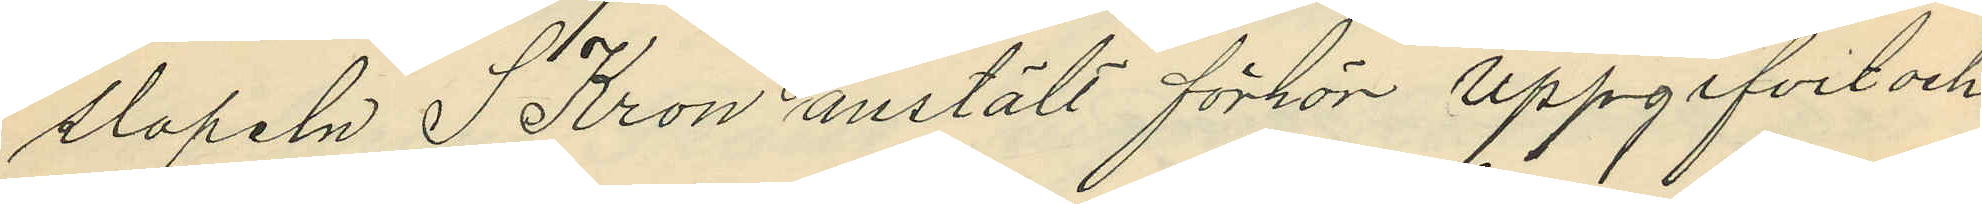slapeln S Kron anstält förhör uppgifvit och
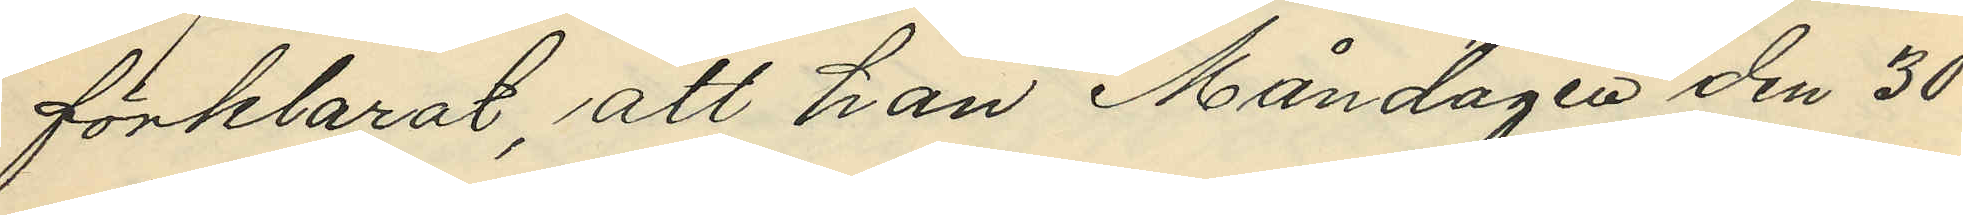förklarat, att han Måndagen den 30
